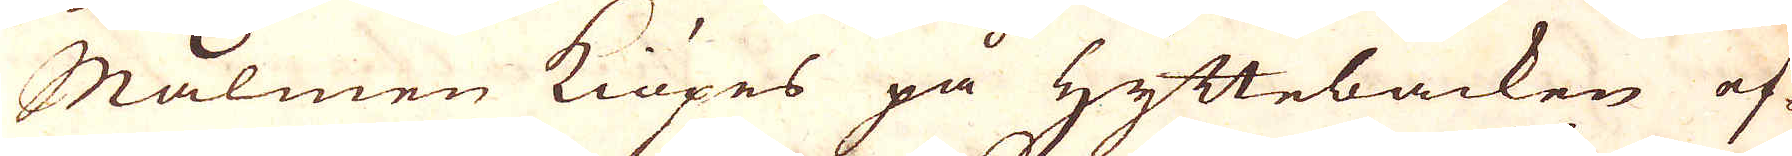Malmen kiöpes på Hyttebacken ef-
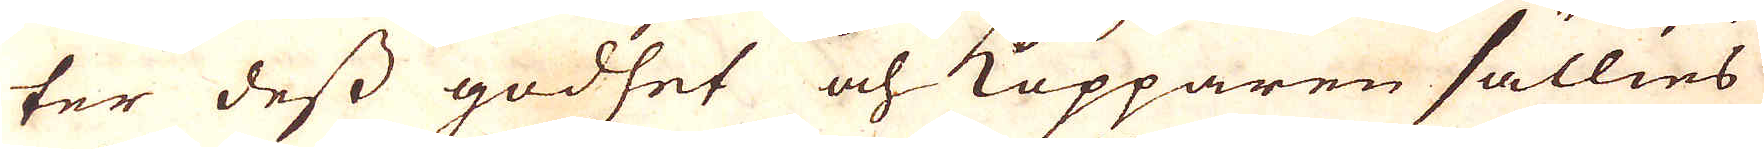ter dess godhet och Kopparen sällies
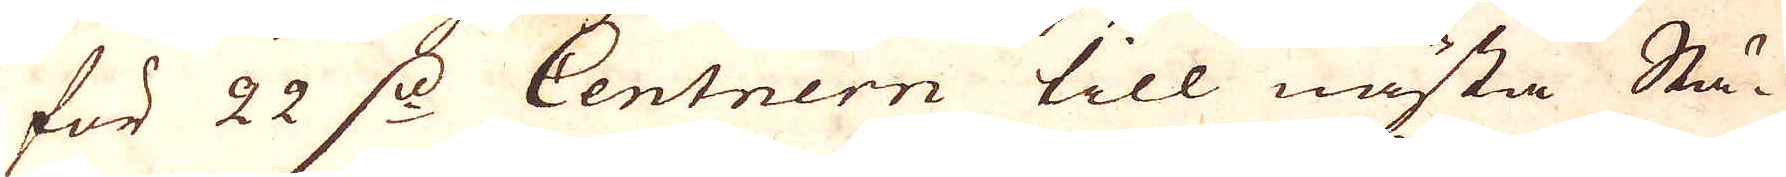för 22 fl: Centrern till nästa Stä-
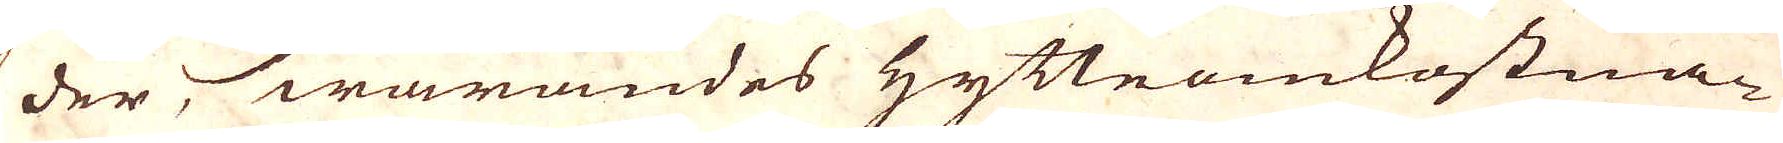der, warandes Hytteomkostna-
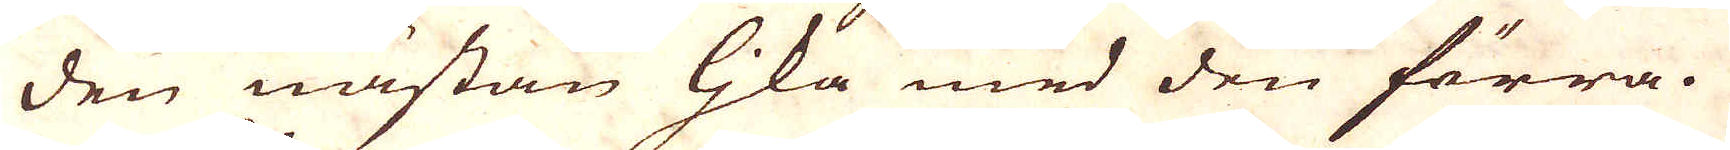den nästan ljika med den förra.
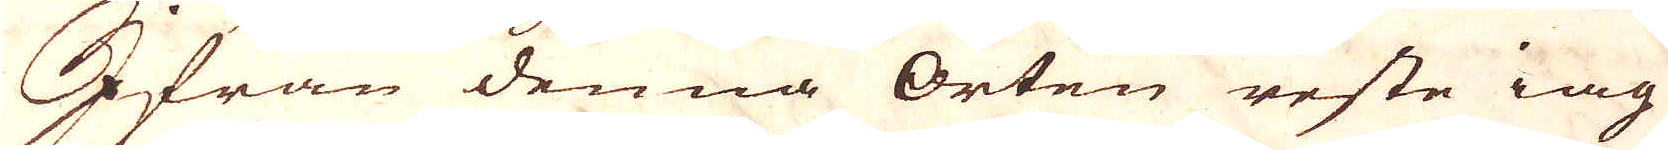Ifrån denna Orten reste iag
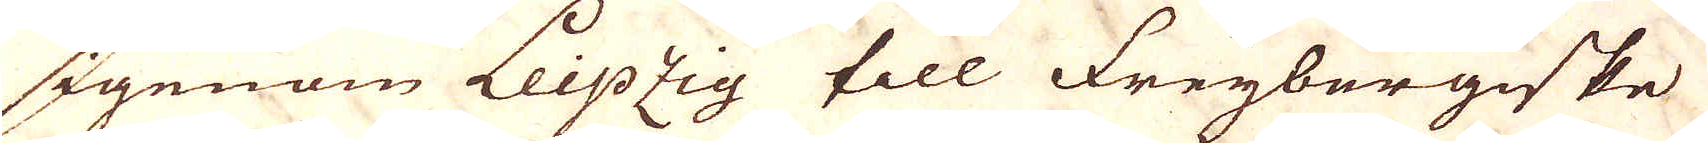igenom Leipzig till Freybergiske
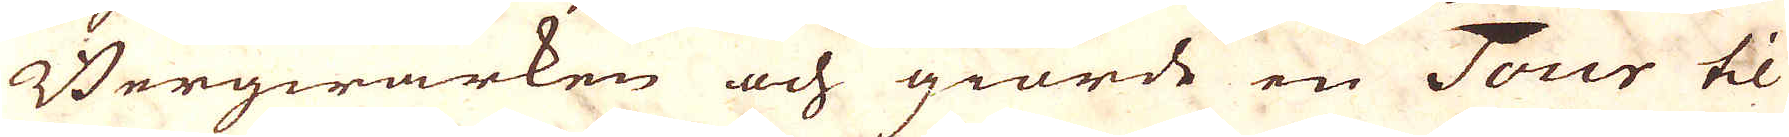Bergwärken och giorde en Tour til
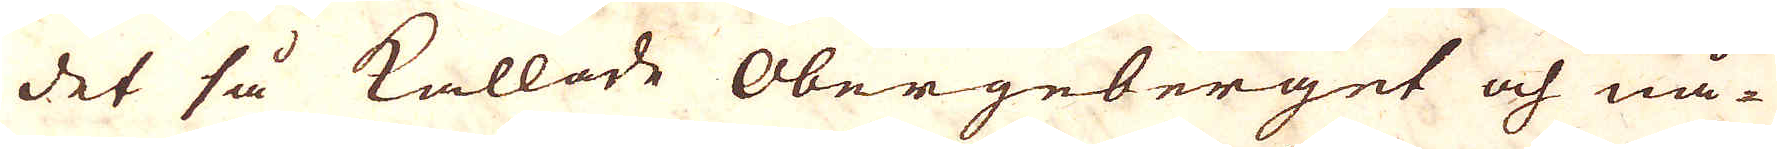det så kallade Obergeberget och nå-
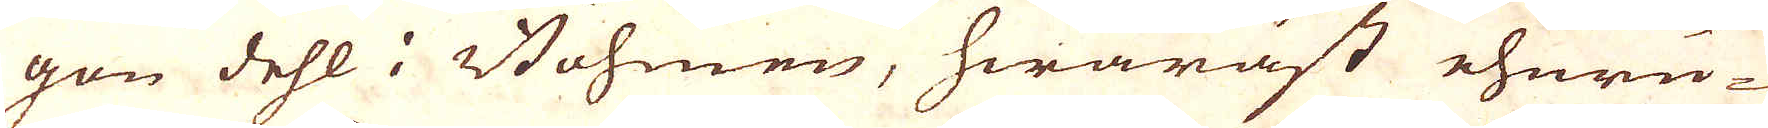gon dehl i Böhmen, hwaräst ehuru-
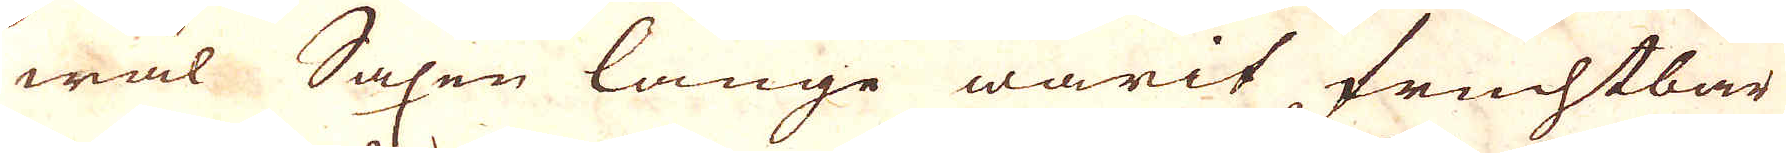wäl Saxen länge warit fruchtbar
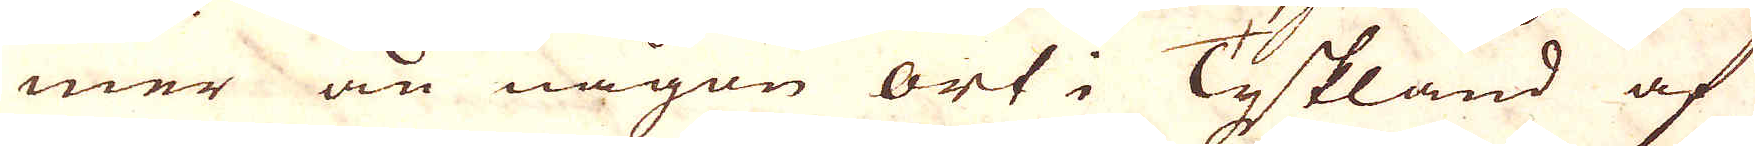mer än någon ort i Tyskland af
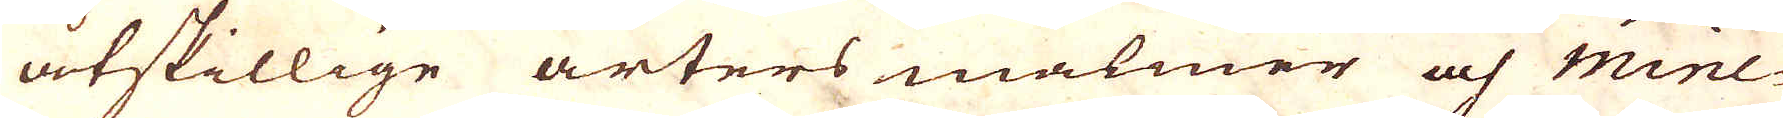åtskillige arters malmer och mine-
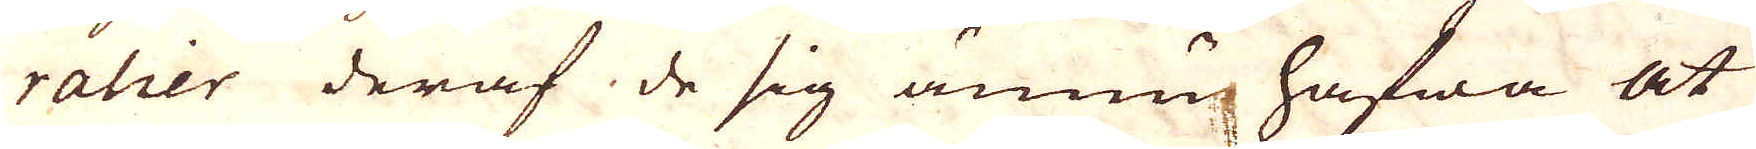ralier deraf de sig ännu hafwa at
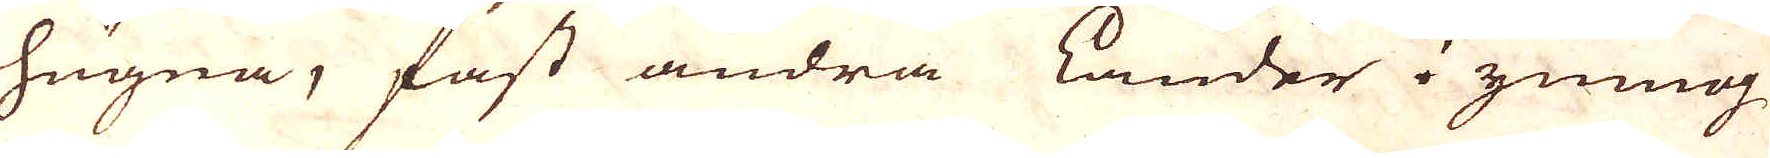hugna, fast andra länder yngog
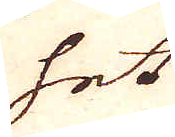het
